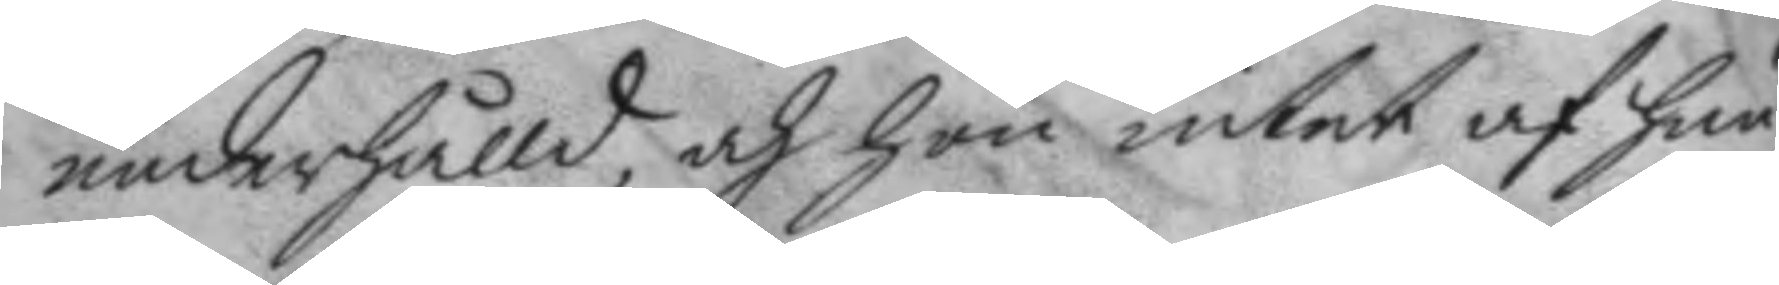underhålld, och hon intet af hun¬
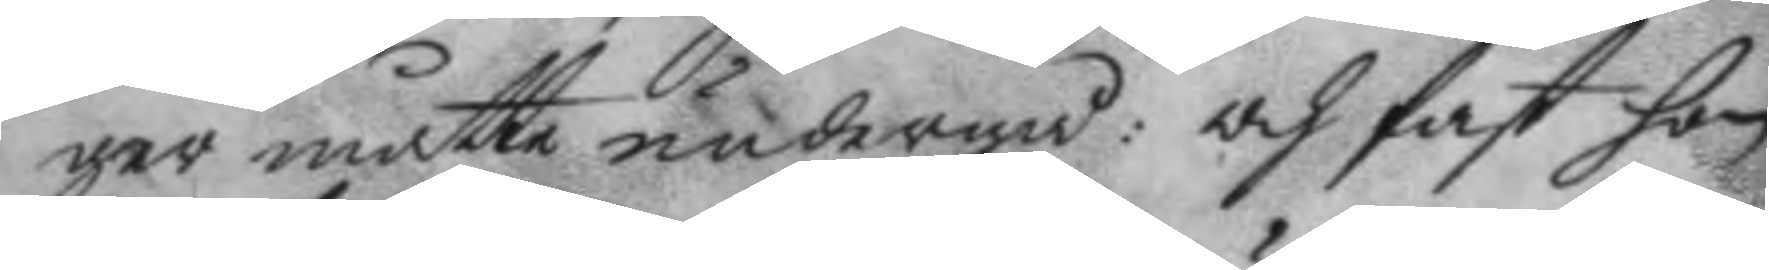ger måtte undergå: och fast hon
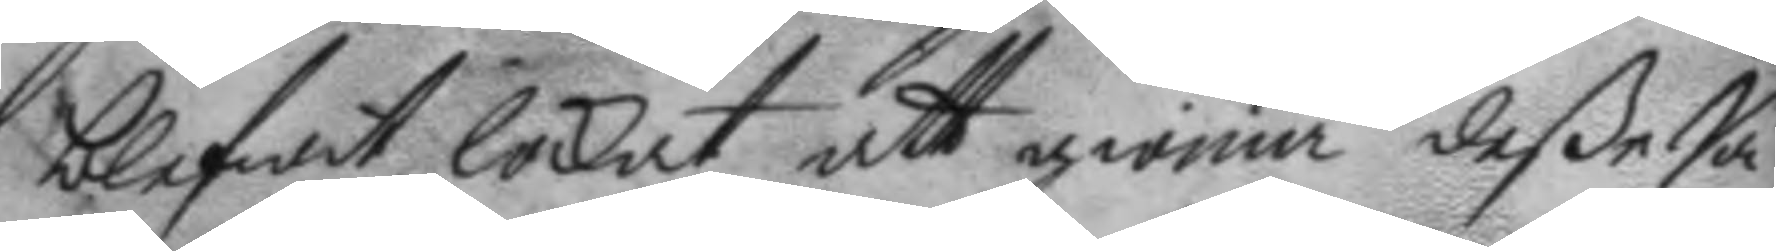blefwet lockat att giöra deße Sa¬
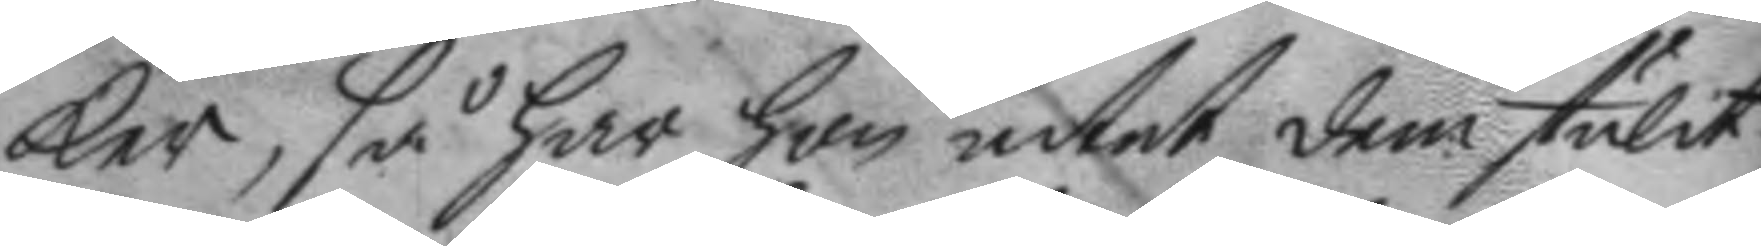ker, så har hon intet dem stulit
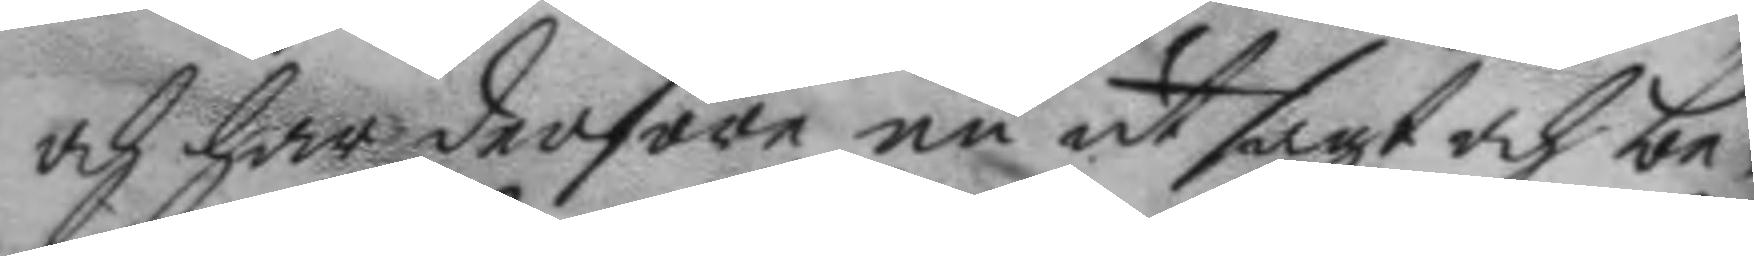och har derföre nu utsagt och be¬
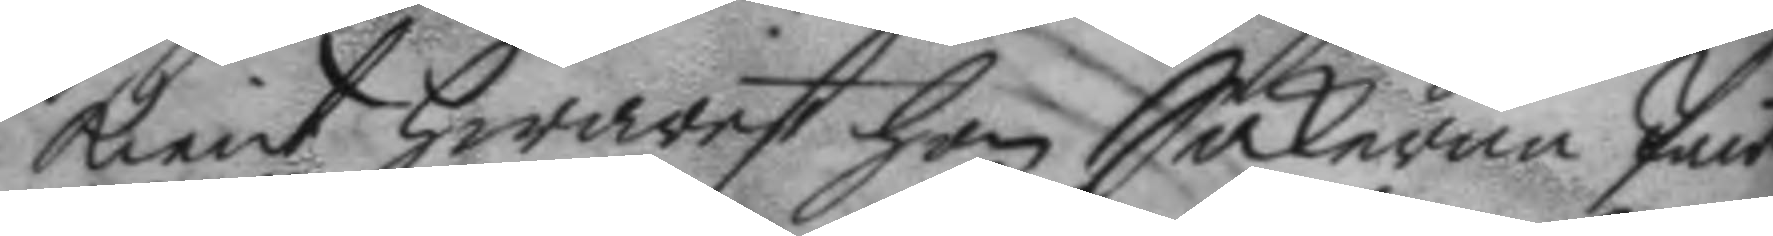kient hwarest hon Sakerne Pant¬
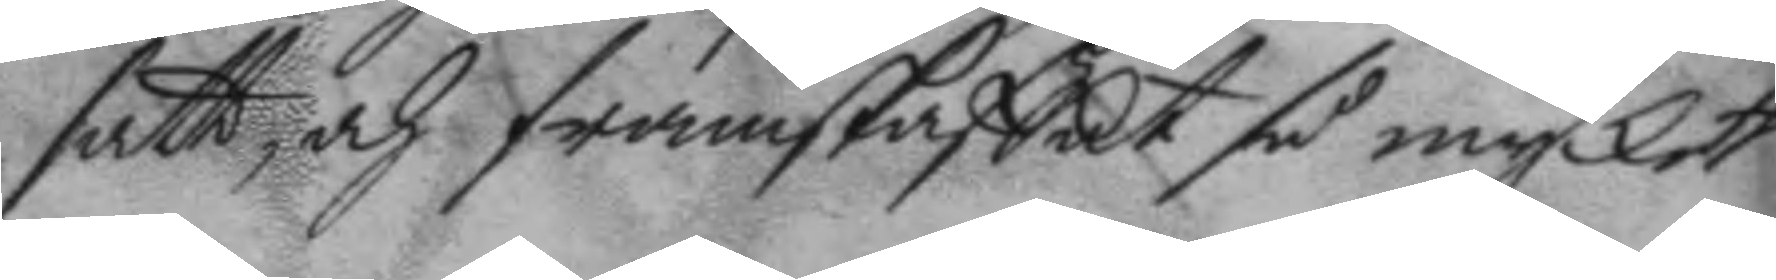satt, och framskaffat så mycket
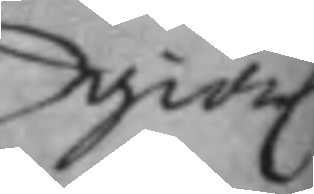giörl.
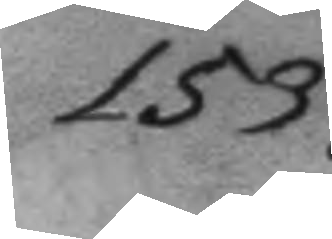153.
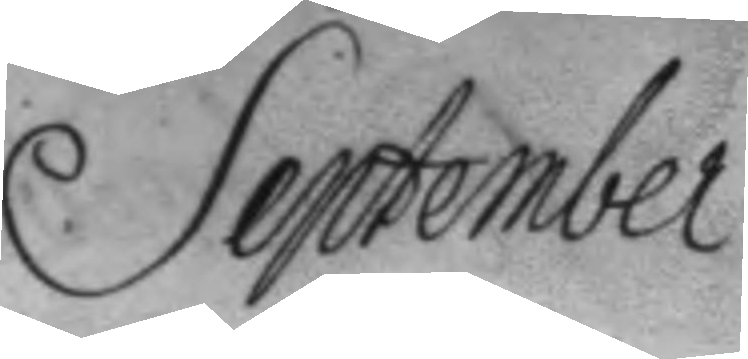September.
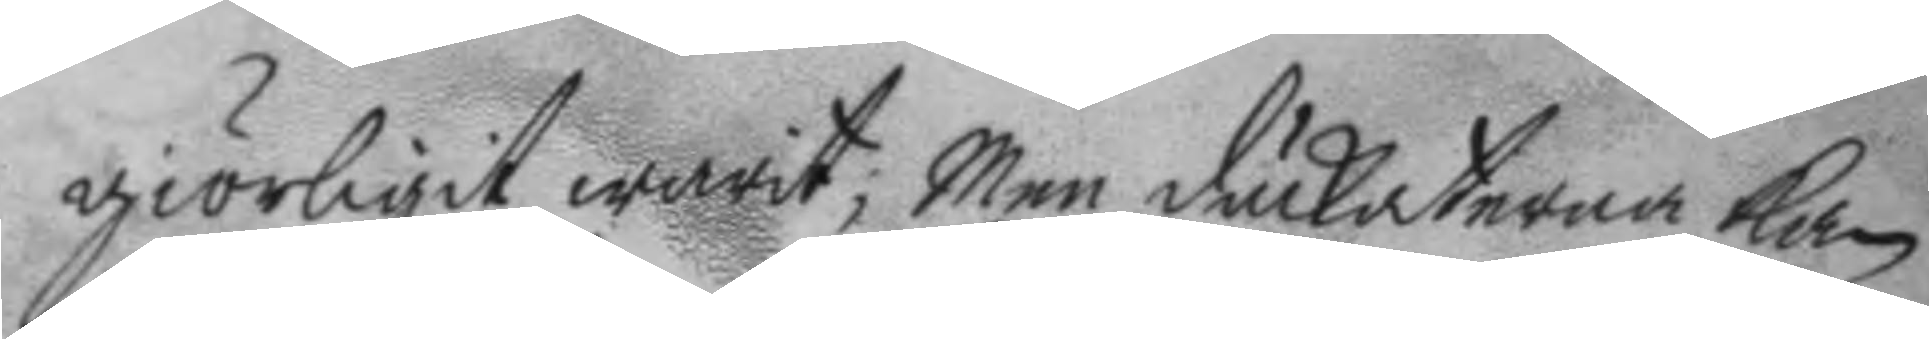giörligit warit; men duckaterna kan
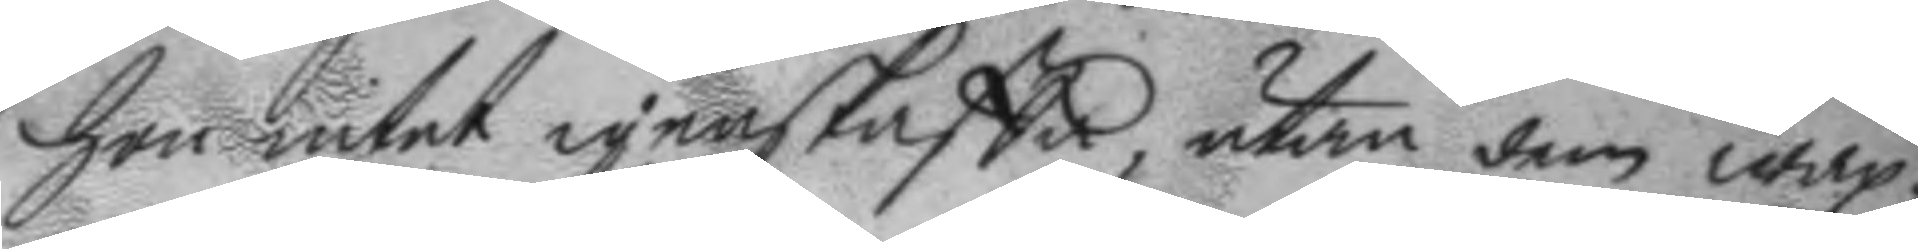hon intet igenskaffa, utan dem wäx¬
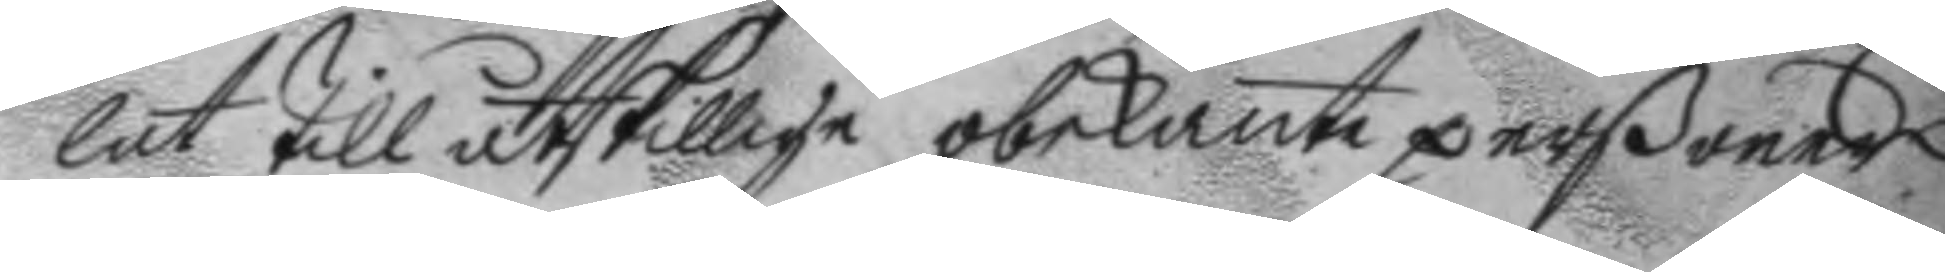lat till åtskillige obekante perßoner.
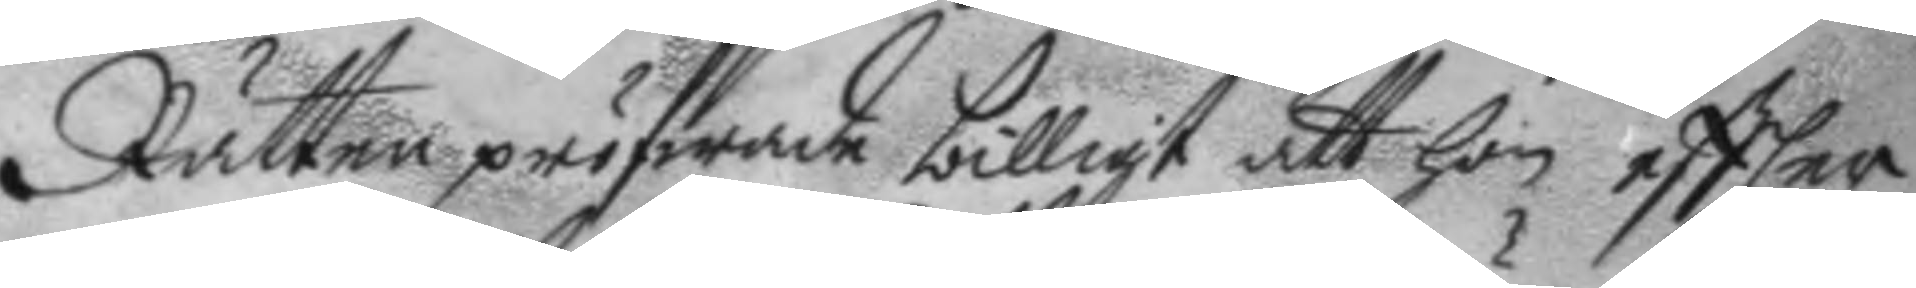Rätten pröfwade billigt att hon eftter
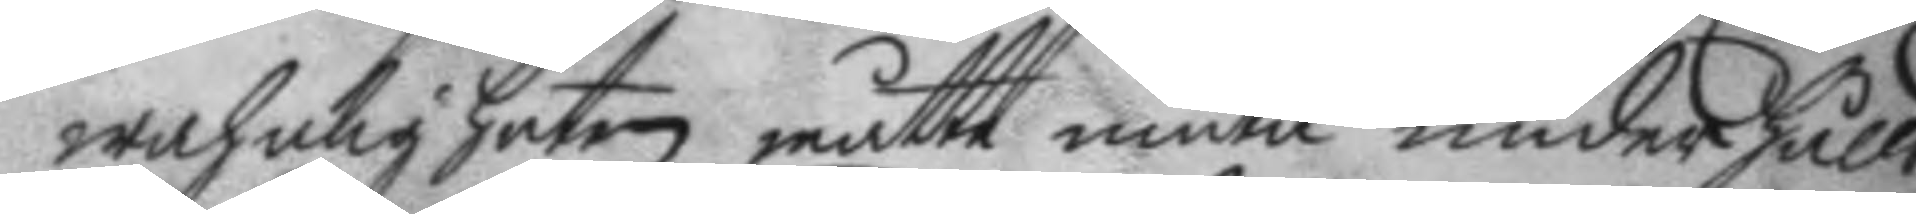wahnligheten måtte niuta underhålld
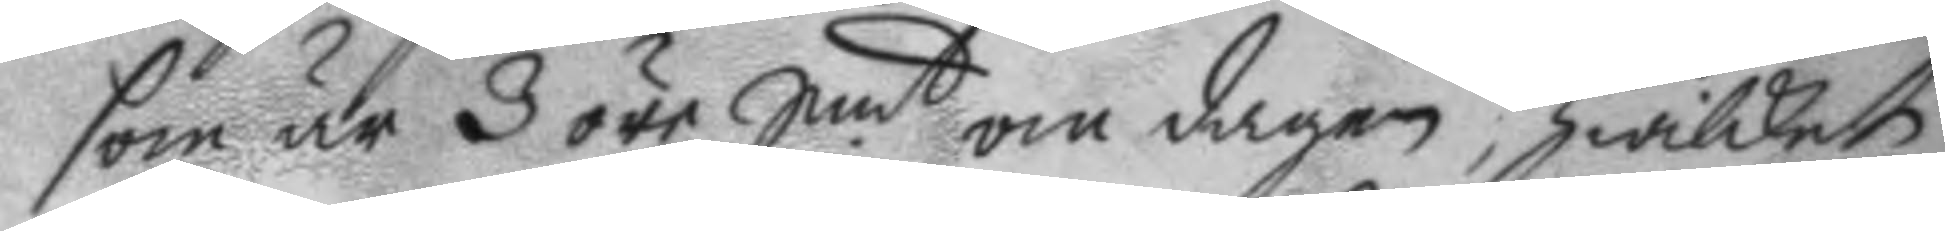som är 3 öre Smt. om dagen, hwilket
